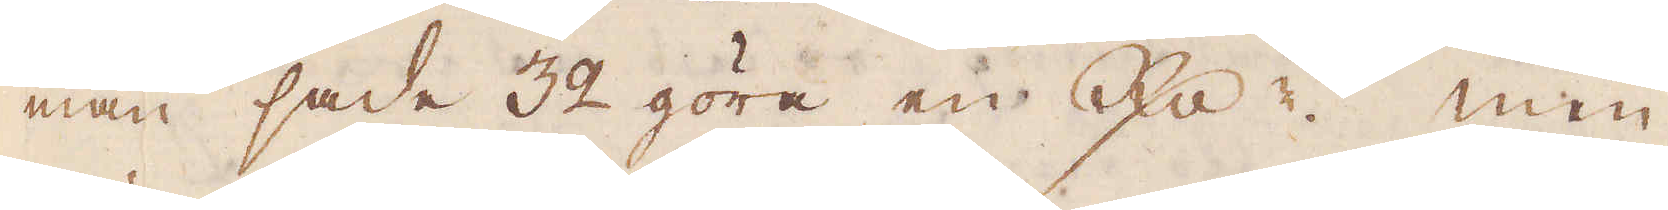man sade 32 göra en R:dr men
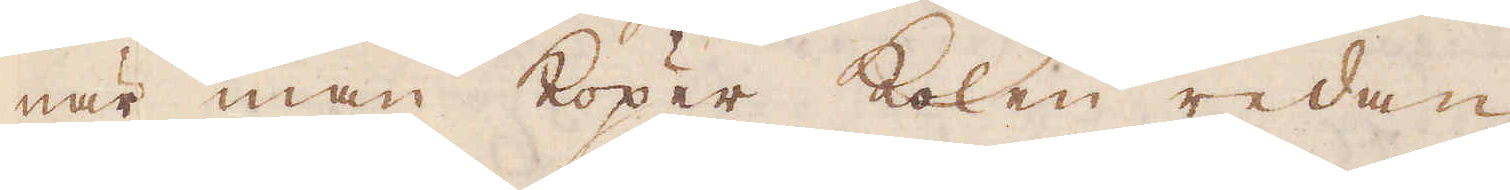när man köper kolen redan
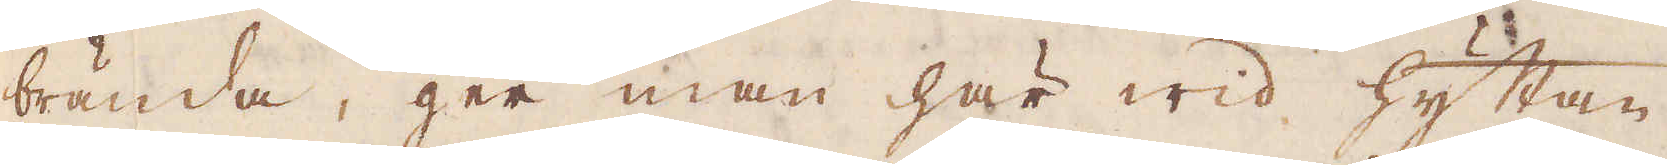brända, ger man här wid hyttan
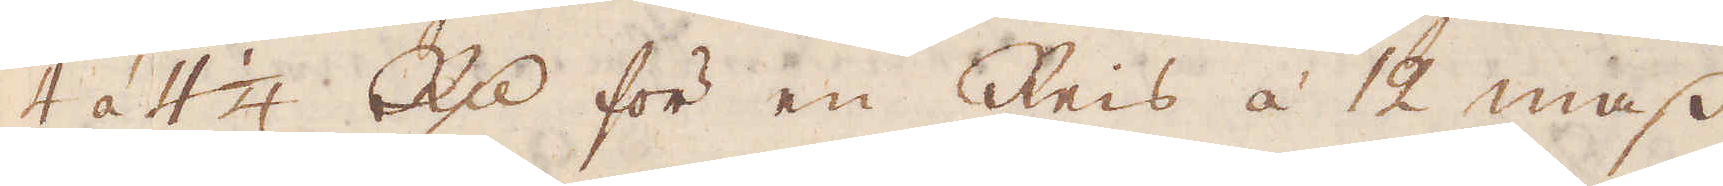4 á 4 1/4 R:dr för en Reis à 12 mass
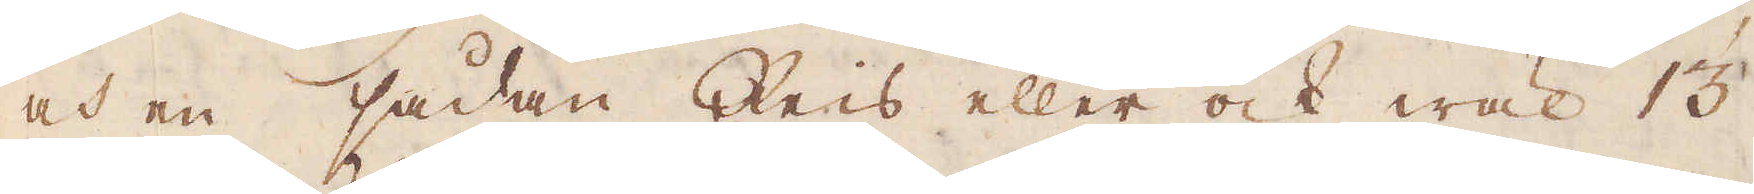och en sådan Reis eller ock wäl 13
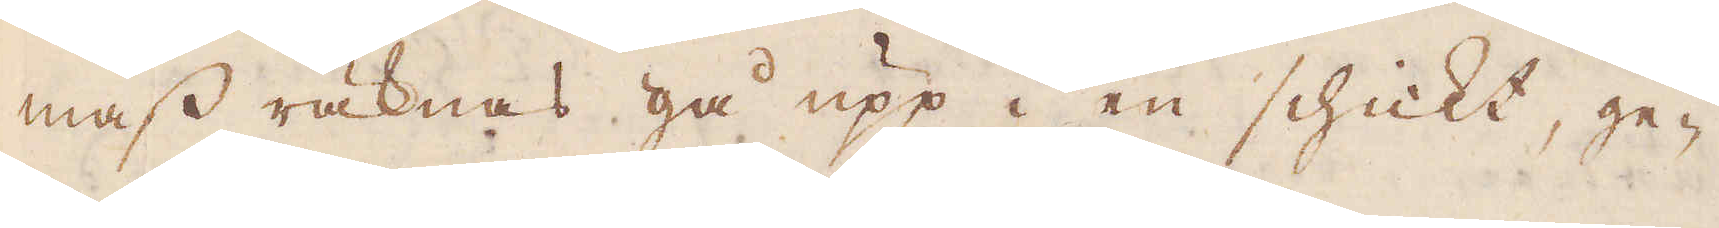mass räknas gå upp i en schickt, ge-
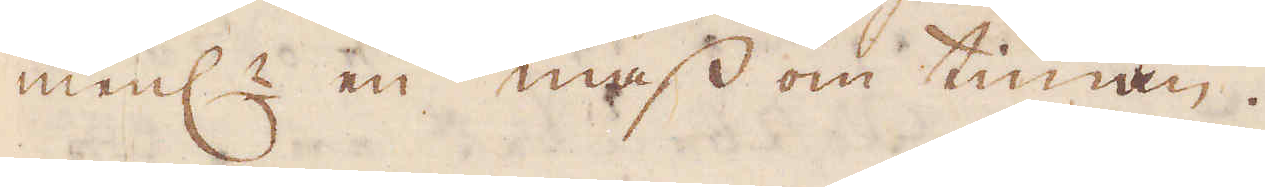menl:n en mess om timan.
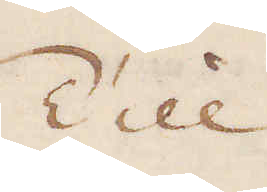Till.
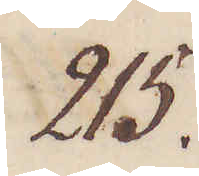215.
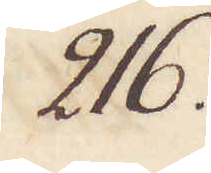216.
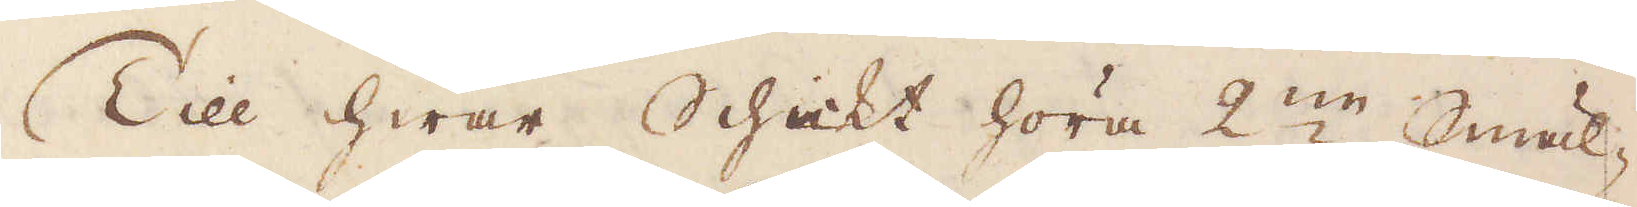Till hwar Schickt höra 2:ne Smäl-
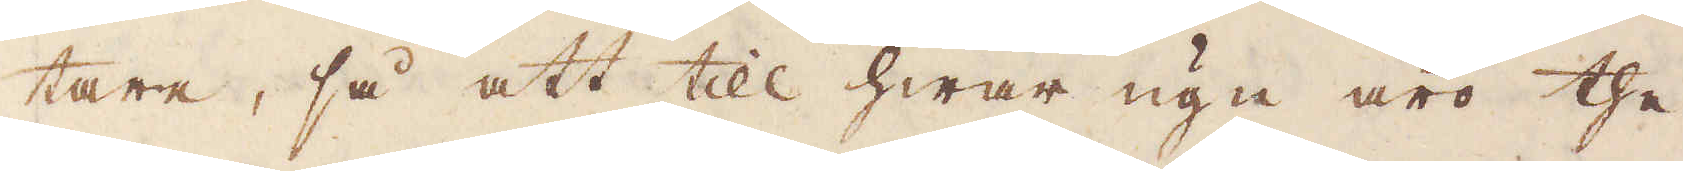tare, så att till hwar ugn äro the
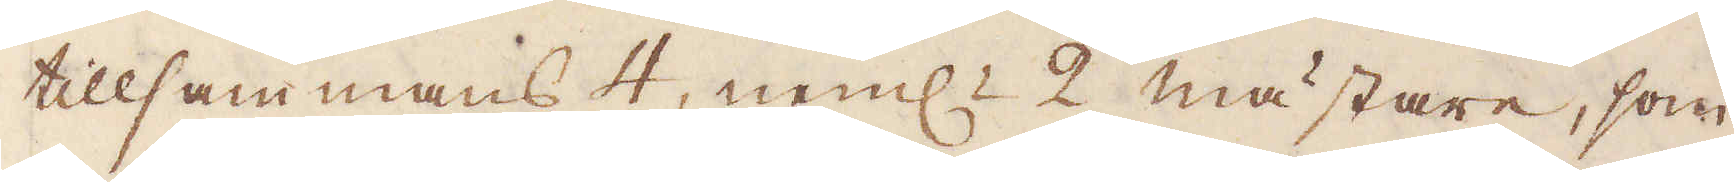tillsammans 4, neml:n 2 mästare, som
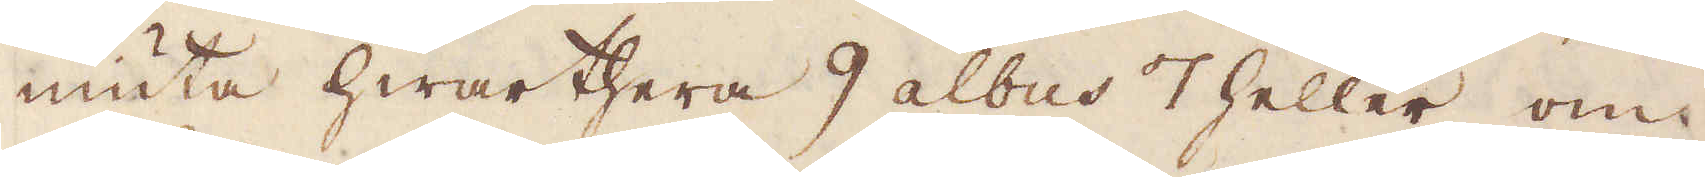niuta hwarthera 9 albus 7 heller om
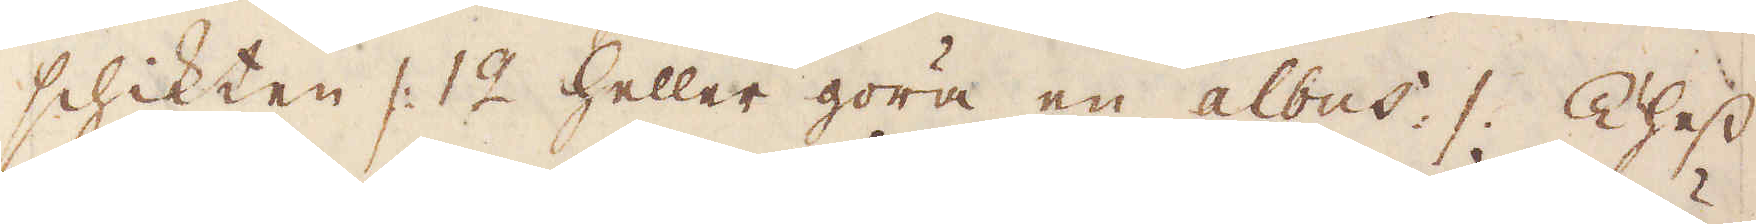schikten /: 12 heller göra en albus. 1. Thess
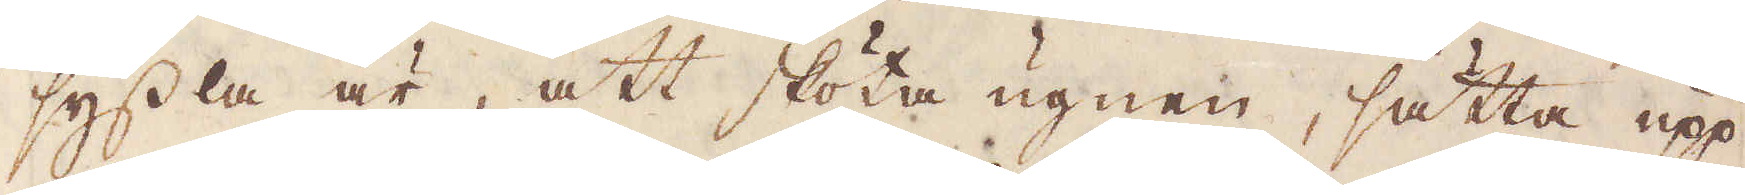syssla är, att skötta ugnen, sätta upp
